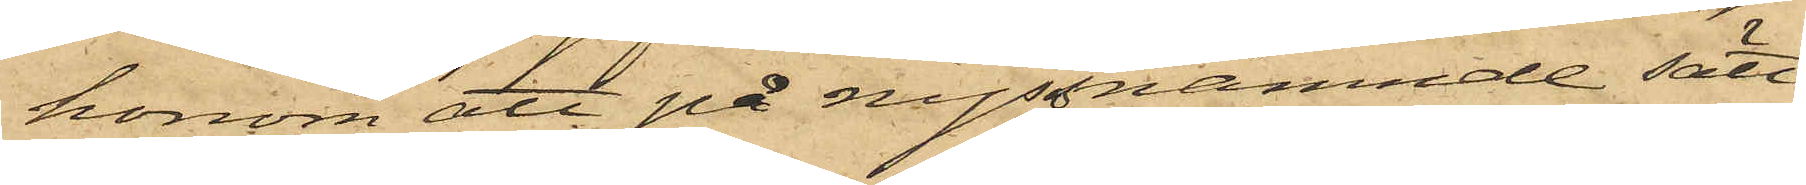honom att på nyssnämnde sätt
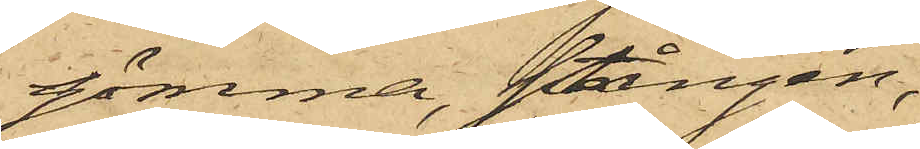gömma, stången;
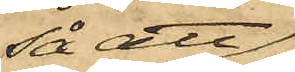så att
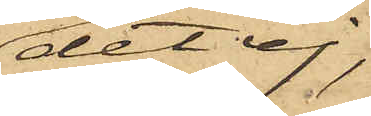det ej,
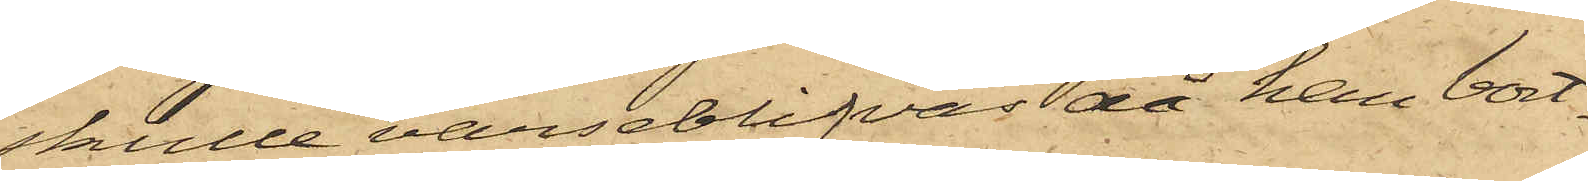skulle varseblifvas då han bort¬
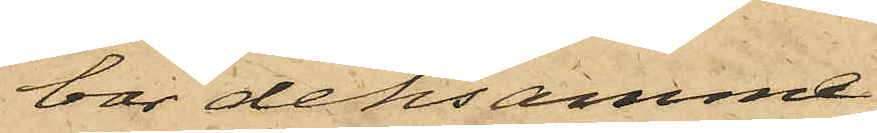bar densamme,
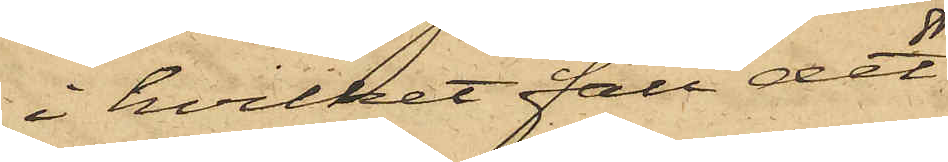i hvilket fall det
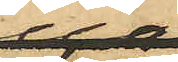skulle
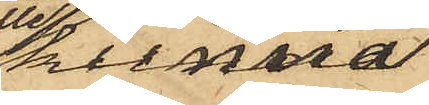kunna
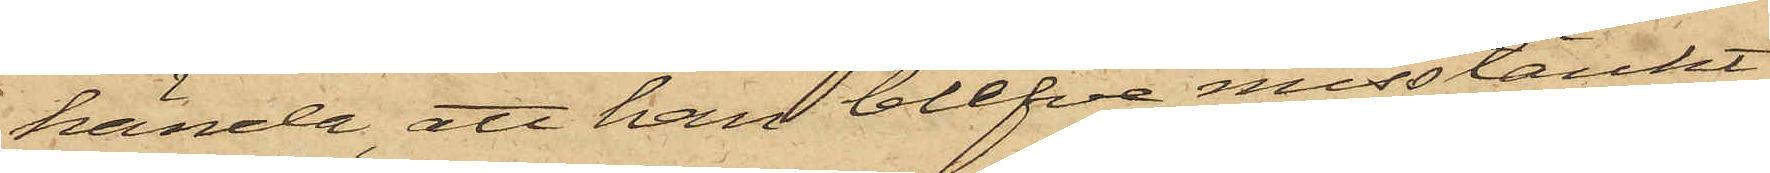hända, att han blefve misstänkt
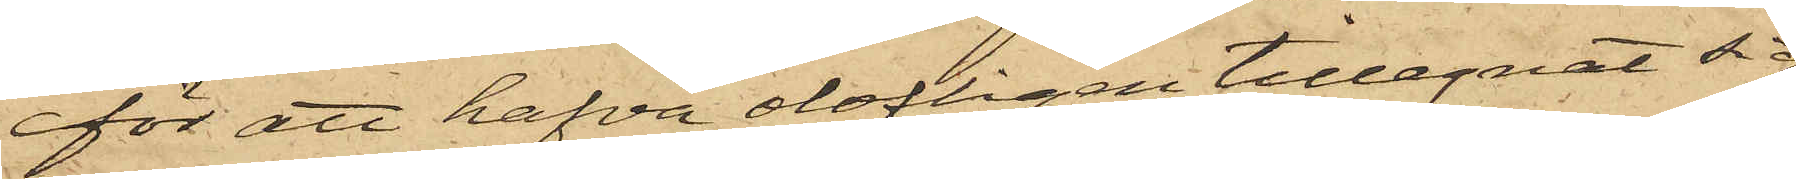för att hafva olofligen tillegnat sig
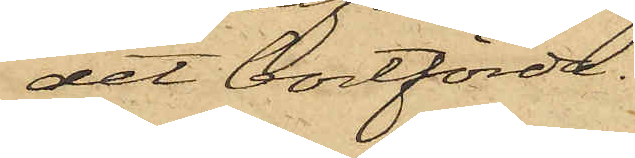det bortförda.
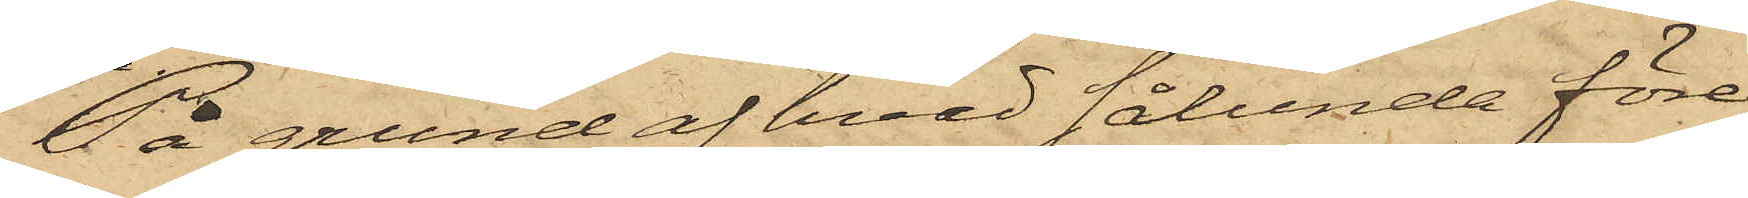På grund af hvad sålunda före¬
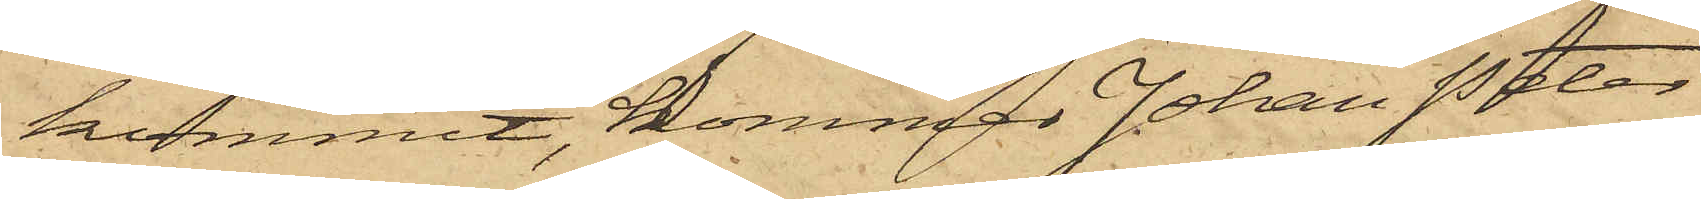kommit, kommer Johan Peter
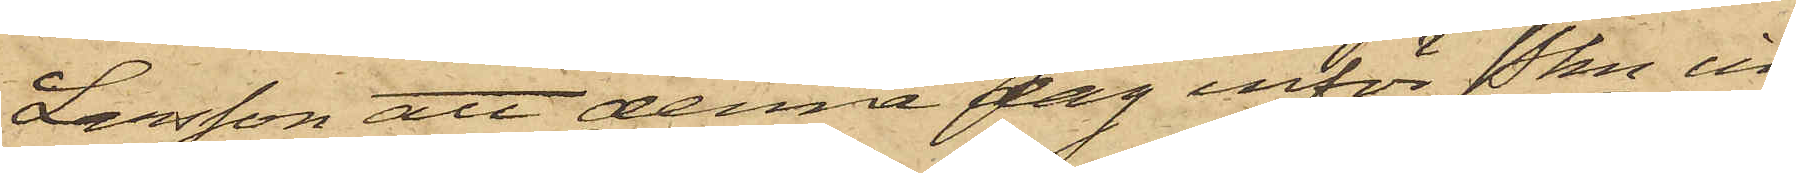Larsson att denna dag inför Pkn in¬
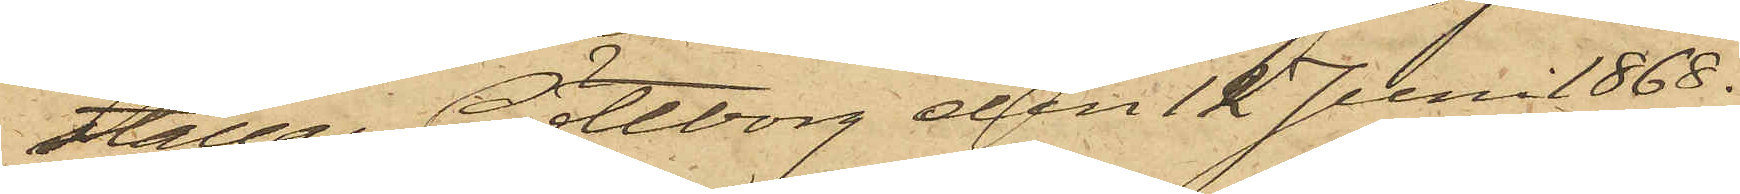ställas Göteborg den 12 Juni 1868.
